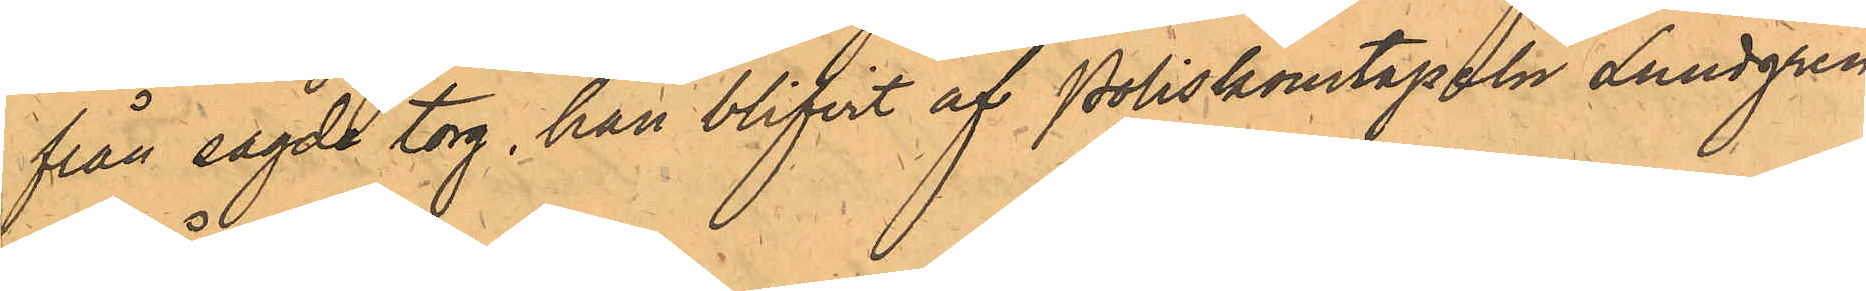från sagde torg, han blifvit af Poliskonstapeln Lundgren
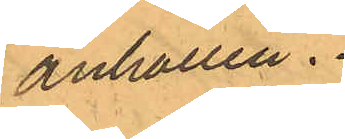anhållen.
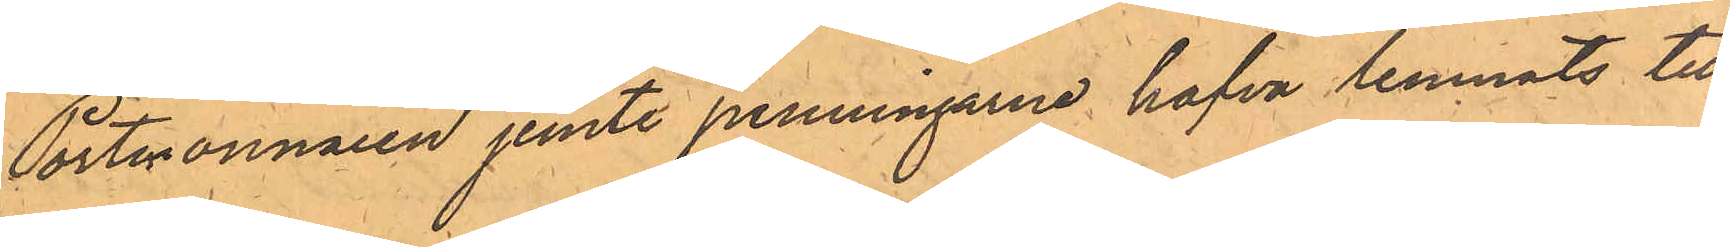Portmonnaien jemte penningarne hafva lemnats till
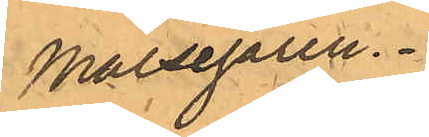Målsegaren.
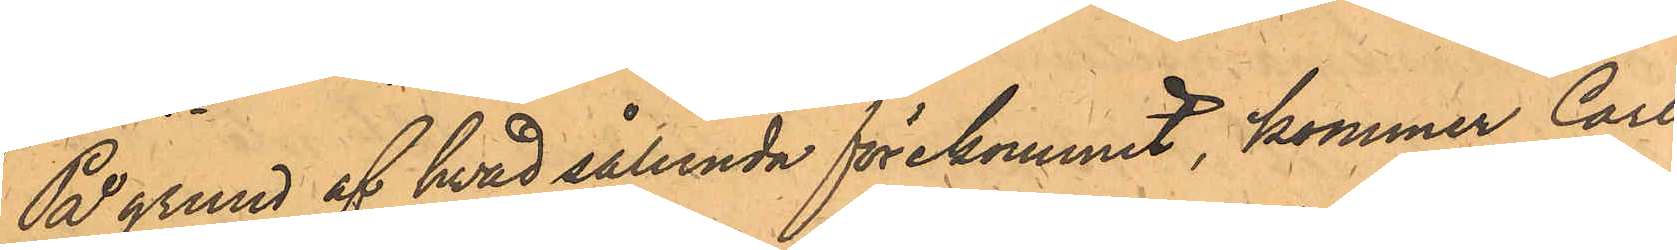På grund af hvad sålunda förekommit, kommer Carl
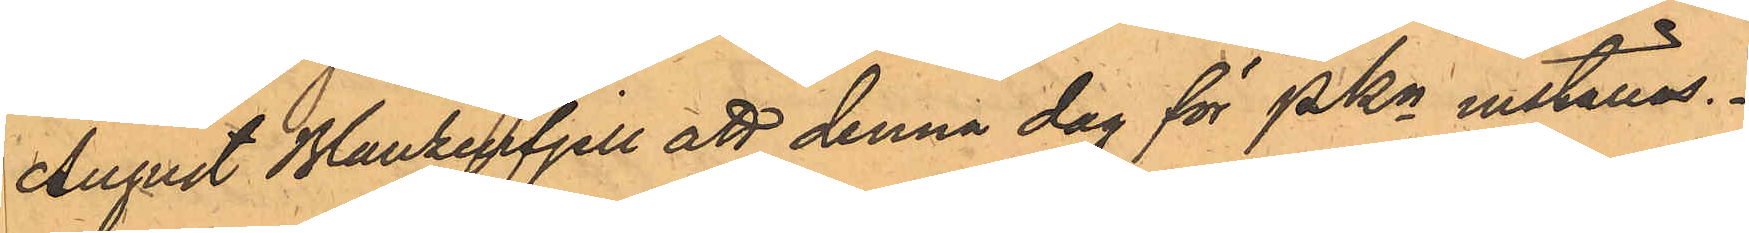August Blankenfjell att denna dag för PKn inställas.
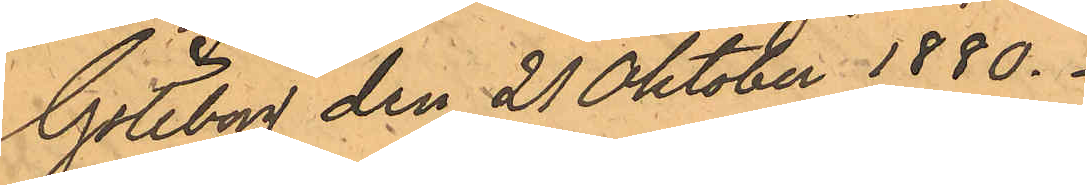Göteborg den 21 Oktober 1880.
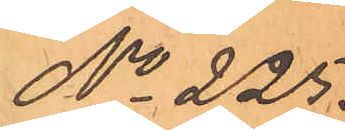No 225.
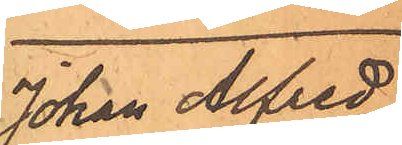Johan Alfred
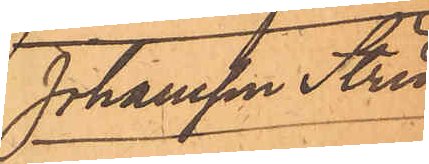Johansson Strid
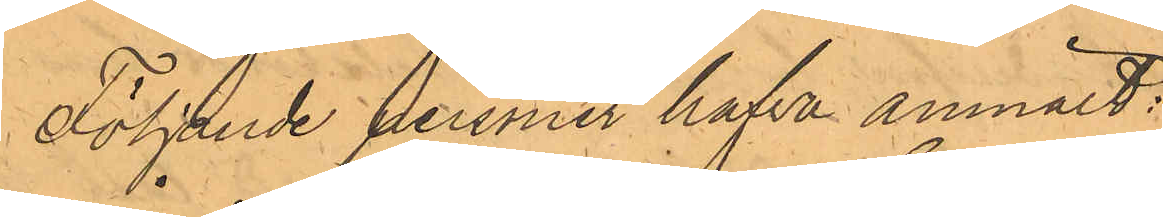Följande persner hafva anmält:
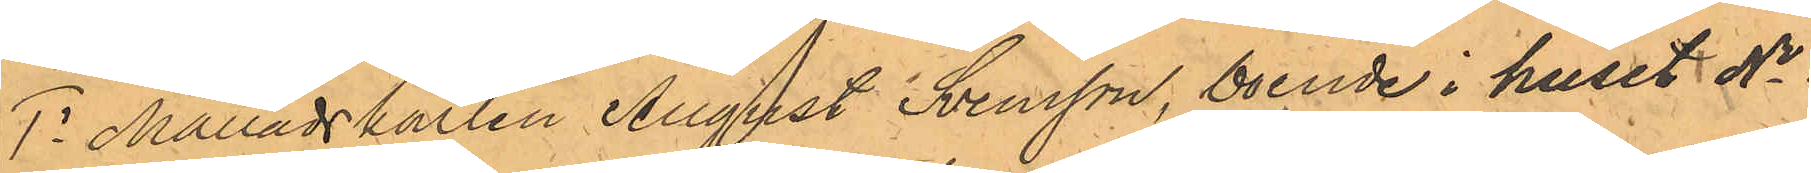1o Månadskarlen August Svensson, boende i huset No 1
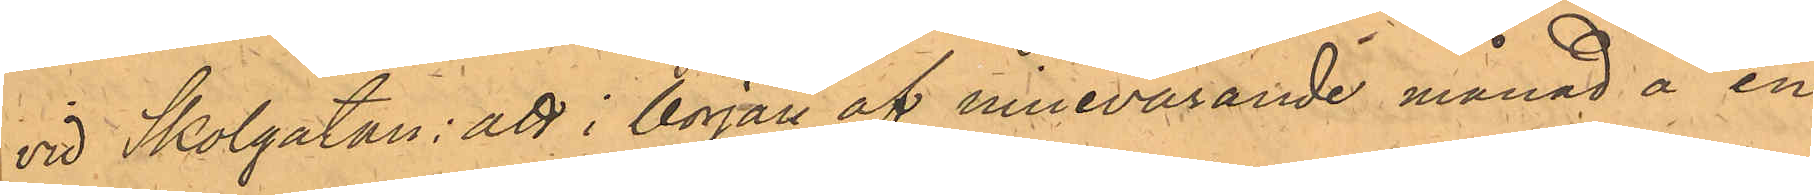vid Skolgatan; att i början af innevarande månad å en
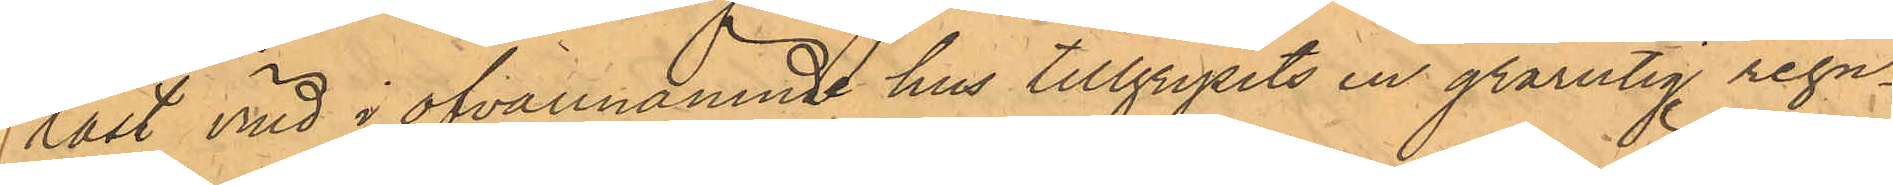låst vind i ofvannämnde hus tillgripits en grårutig regn¬
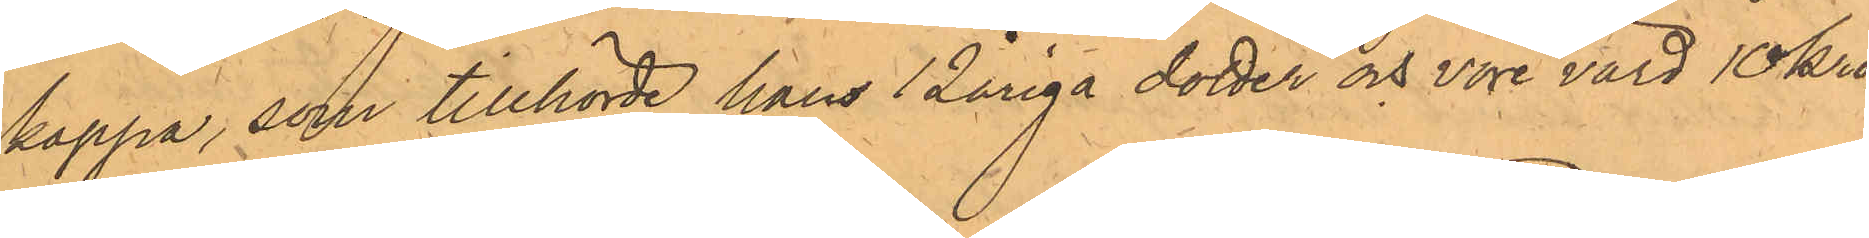kappa, som tillhörde hans 12åriga dotter och vore värd 10 kro¬
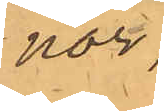nor;
